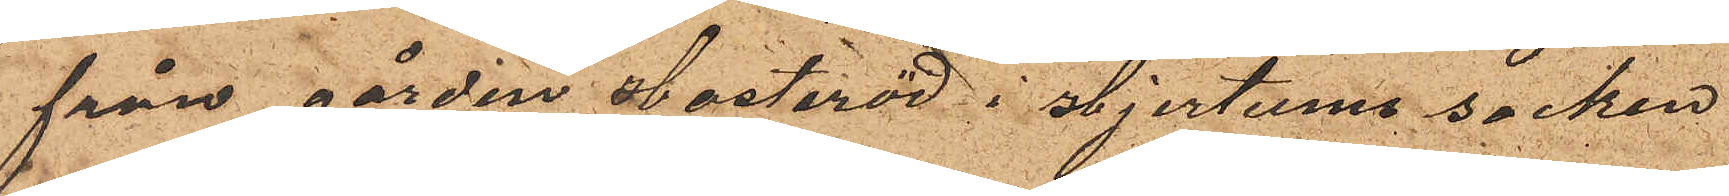från gården Hasteröd i Hjertums socken
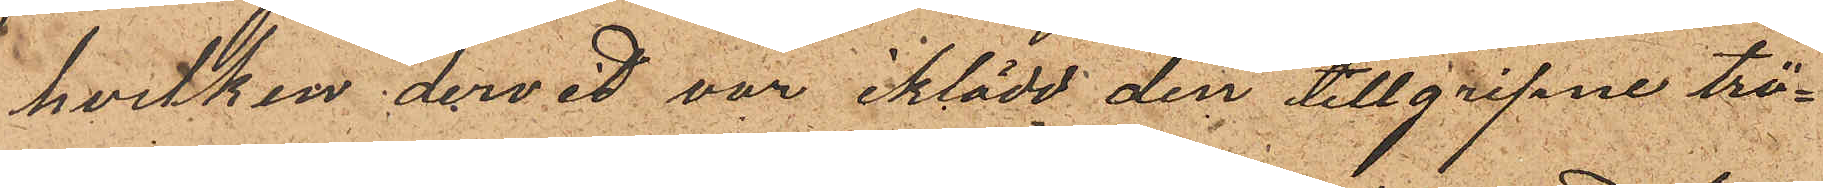hvilken dervid var iklädd den tillgripne trö¬
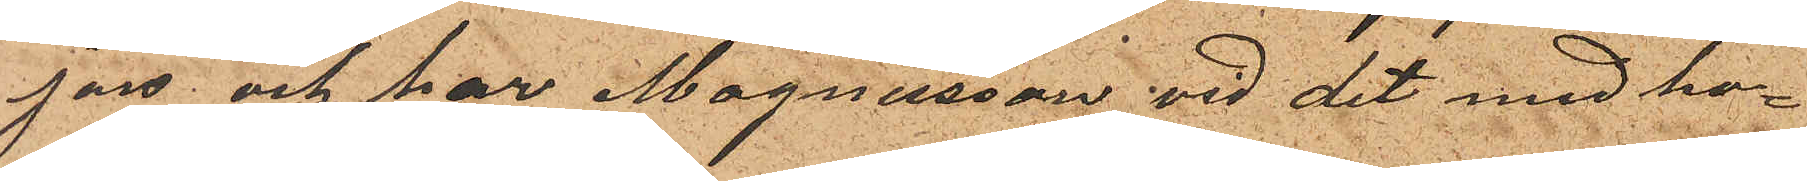jon och har Magnusson vid det med ho¬
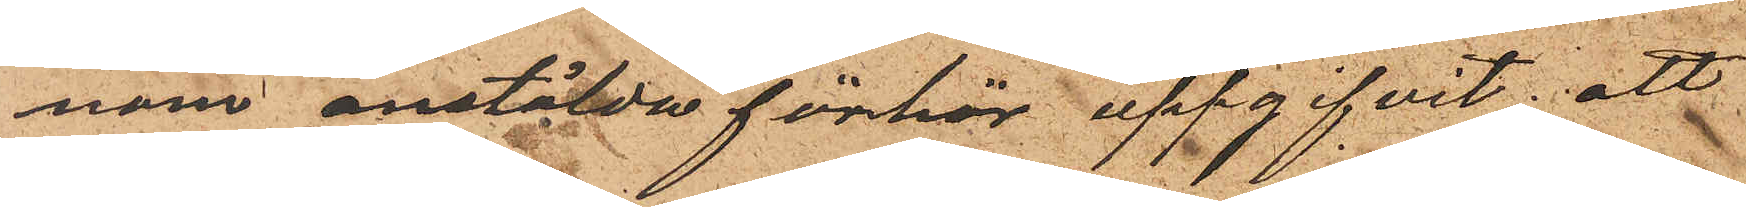nom anstälda förhör uppgifvit; att
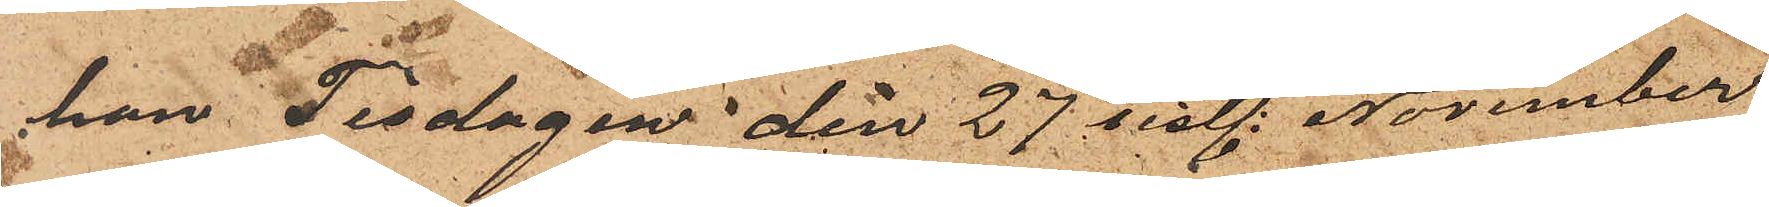han Tisdagen den 27 sistl. November
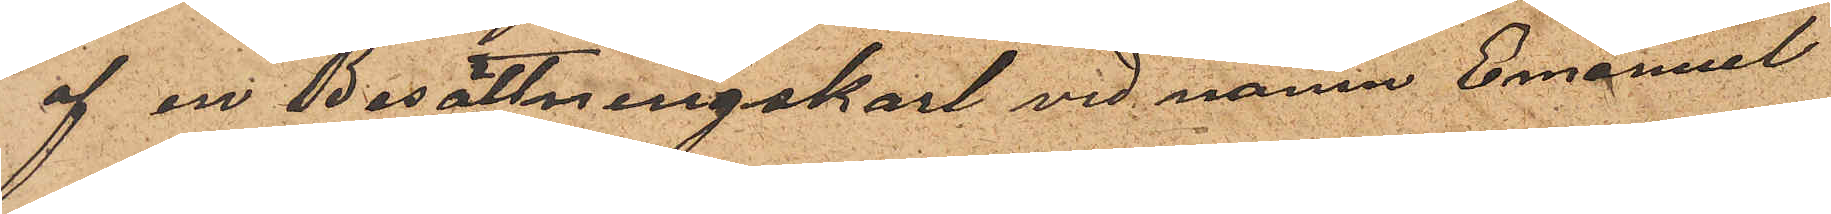af en Besättningskarl vid namn Emanuel
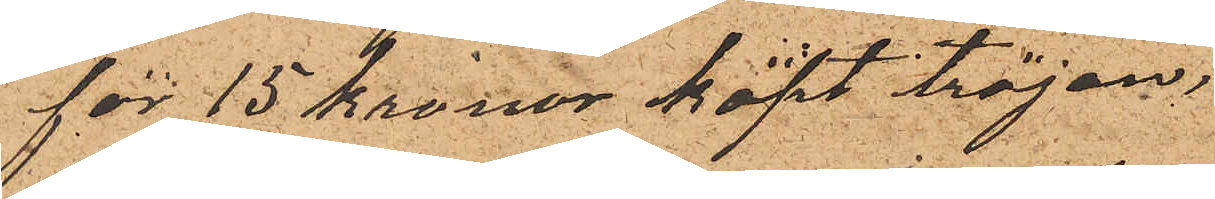för 15 Kronor köpt tröjan;
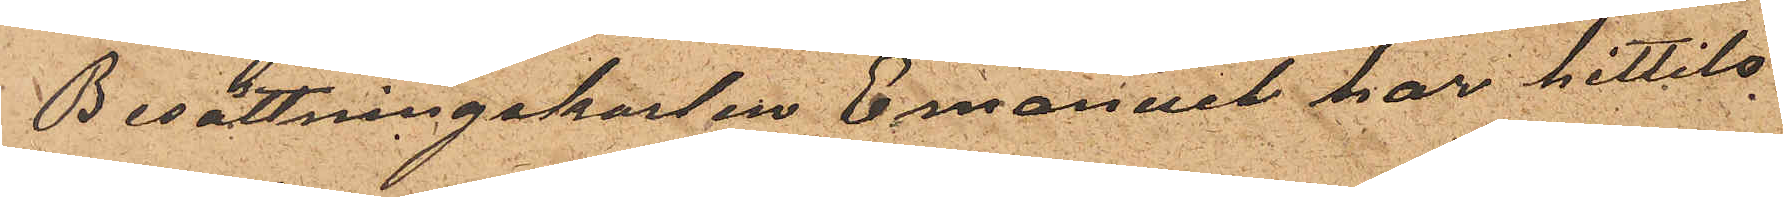Besättningskarlen Emanuel har hittils
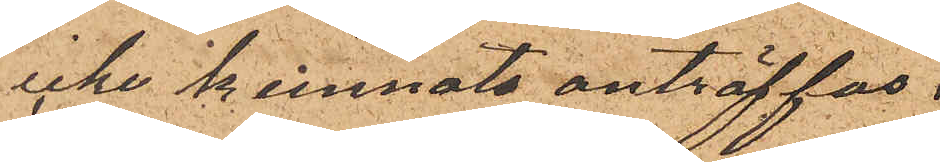icke kunnat anträffas.
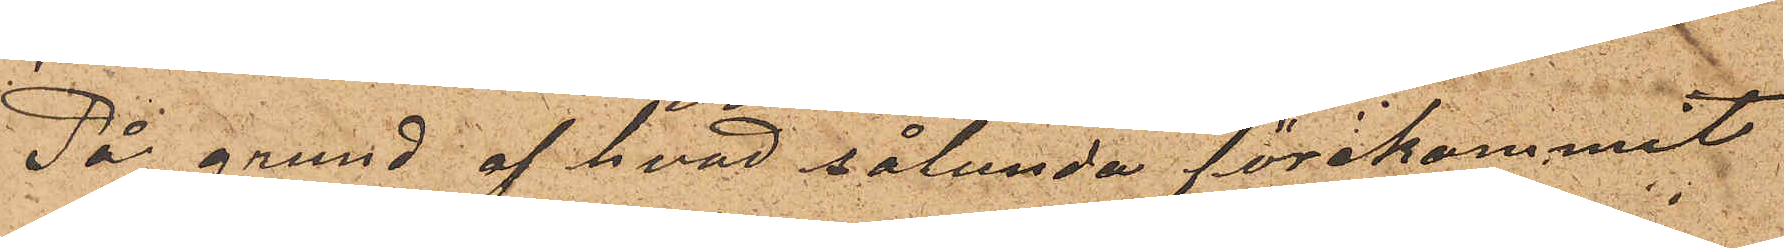På grund af hvad sålunda förekommit
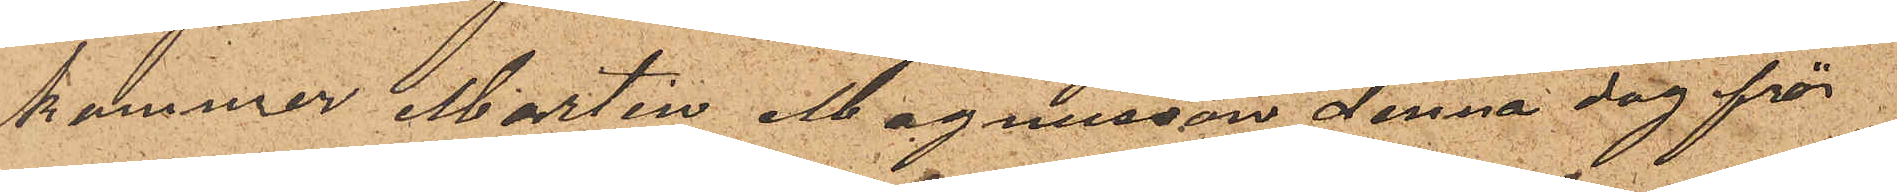kommer Marten Magnusson denna dag för
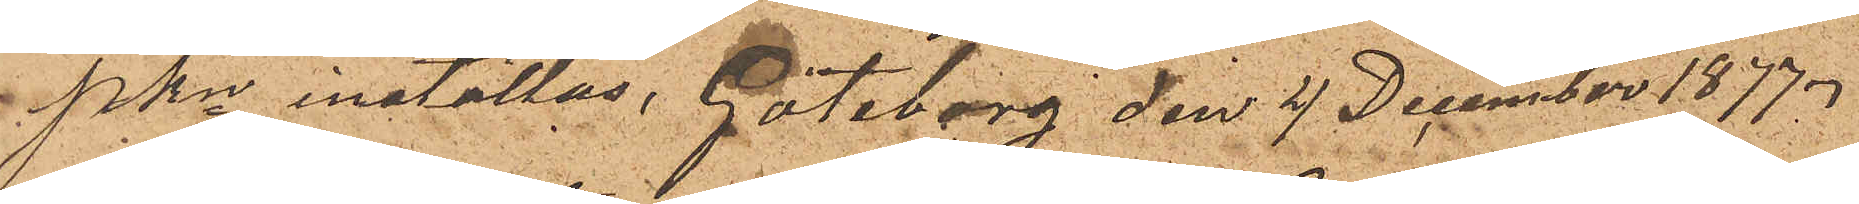PKn inställas. Göteborg den 4 December 1877.
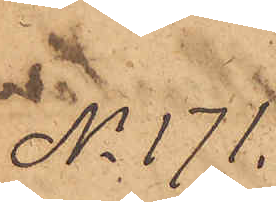No 171.
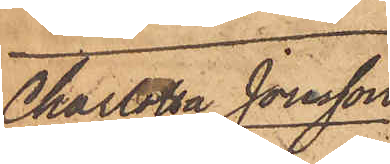Charlotta Jonsson
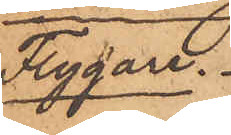Flygare.
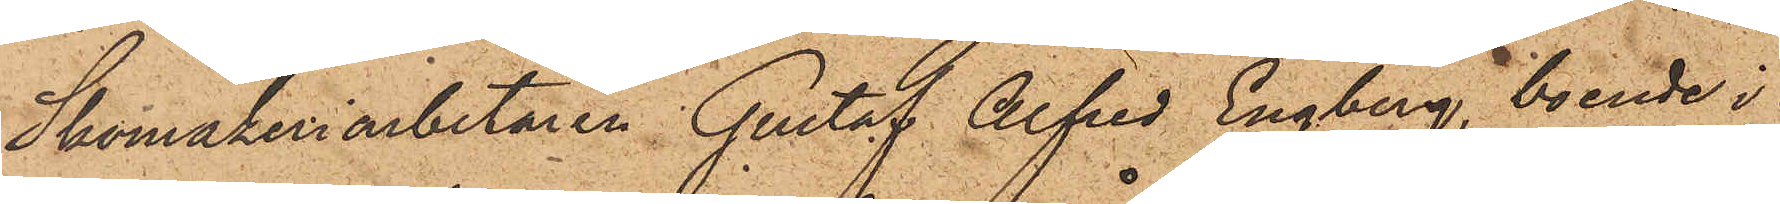Skomakeriarbetaren Gustaf Alfred Engberg, boende i
